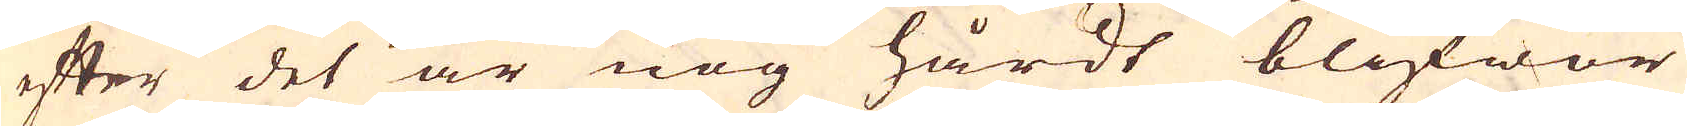efter det är nog hårdt blifwor
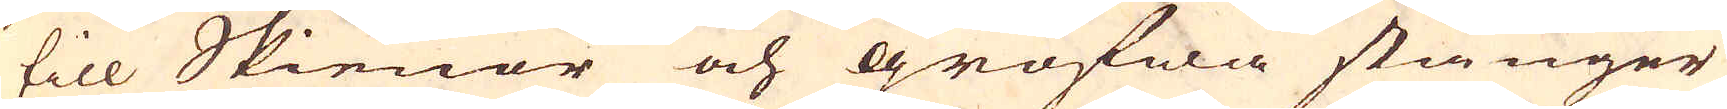till Skienor och grofwa stiänger
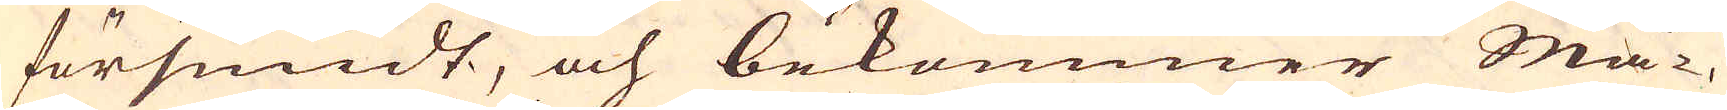försmidt, och bekommer Mä-
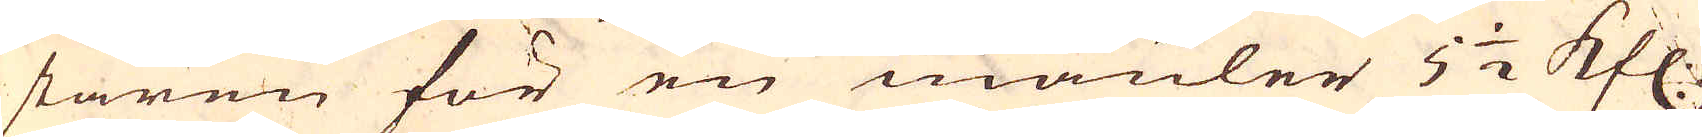staren för en mäuler 5 1/2 Rfl:
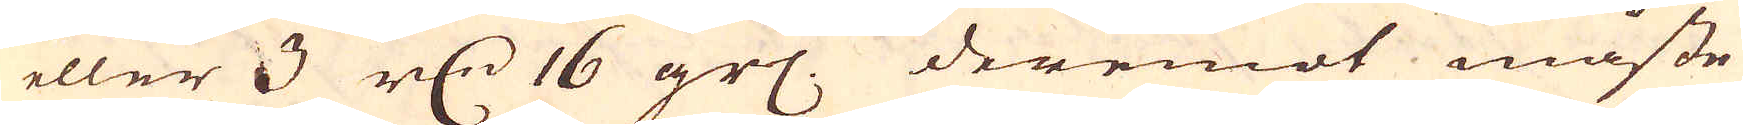eller 3 r:dr 16 grs. Deremot måste
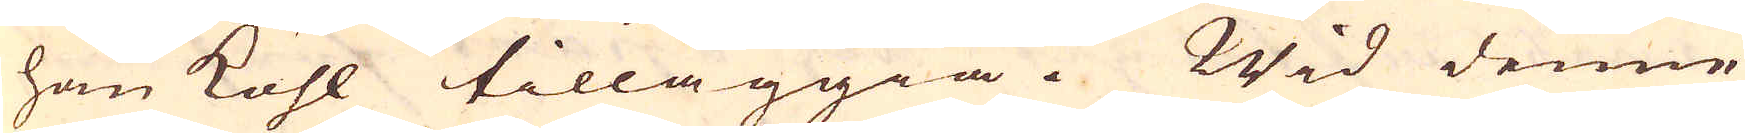han kohl tilläggia. Wid denne
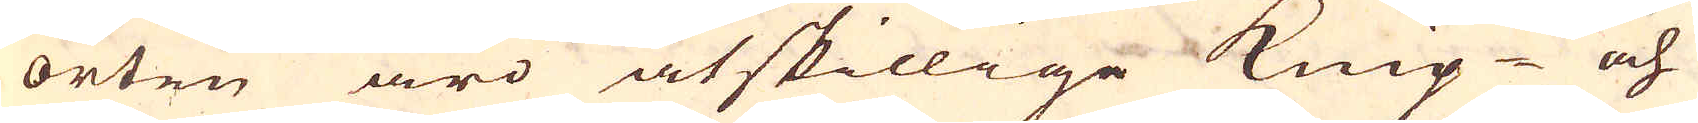orten äro åtskillige knip- och
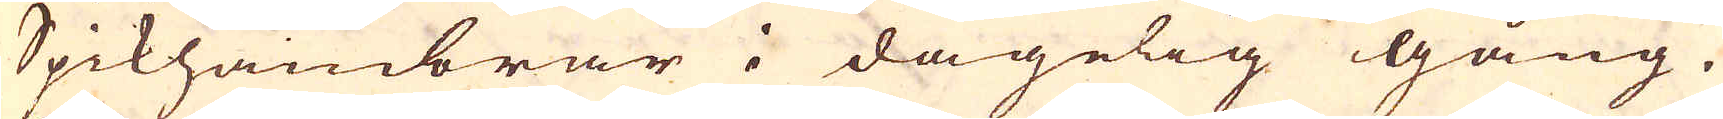Spikhambrar i dagelig gång.
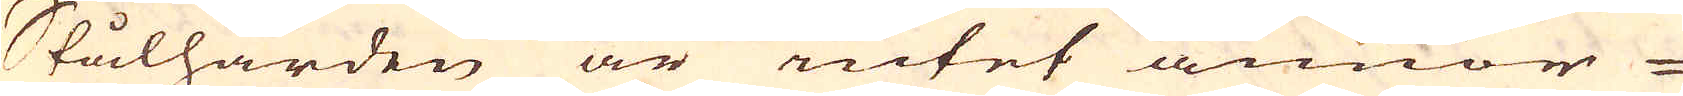Stålhärden är intet annnor-
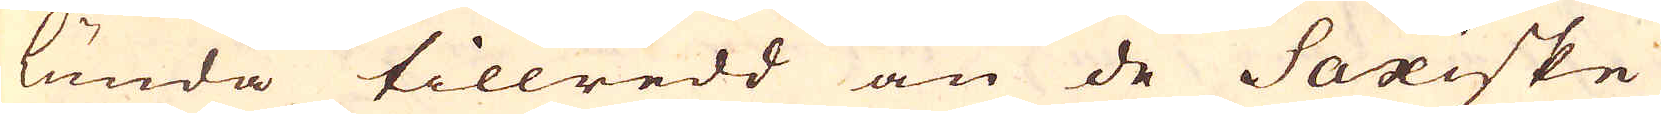lunda tillredd än de Saxiske
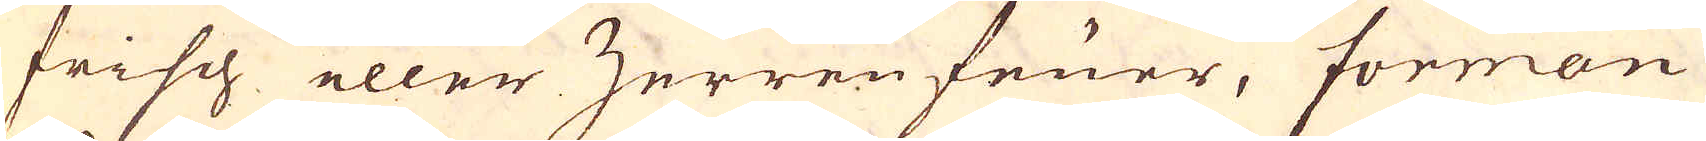frisch eller Zerrenfruer, forman
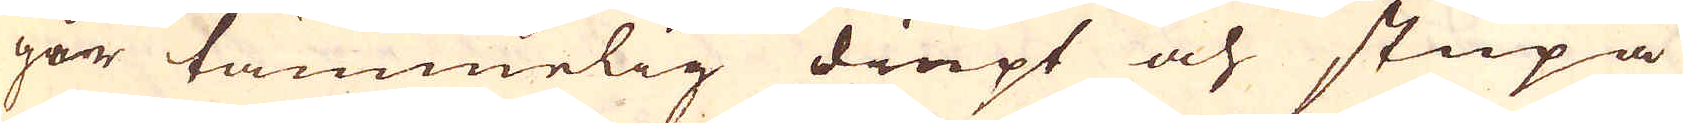går tämmelig diupt och stupa
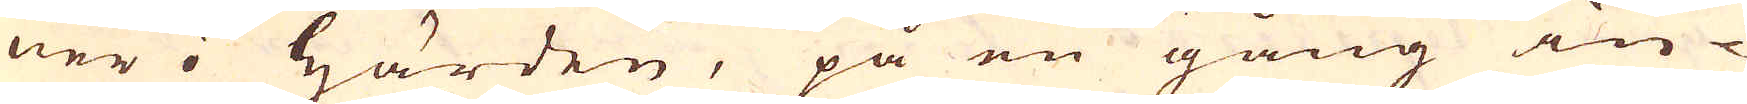ner i härden, på en gång in-
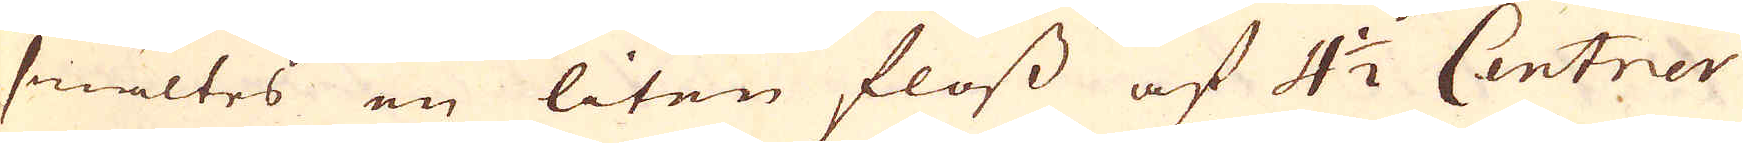smältes en liten floss af 4 1/2 Centrer
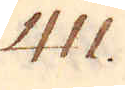411.
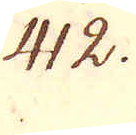412.
